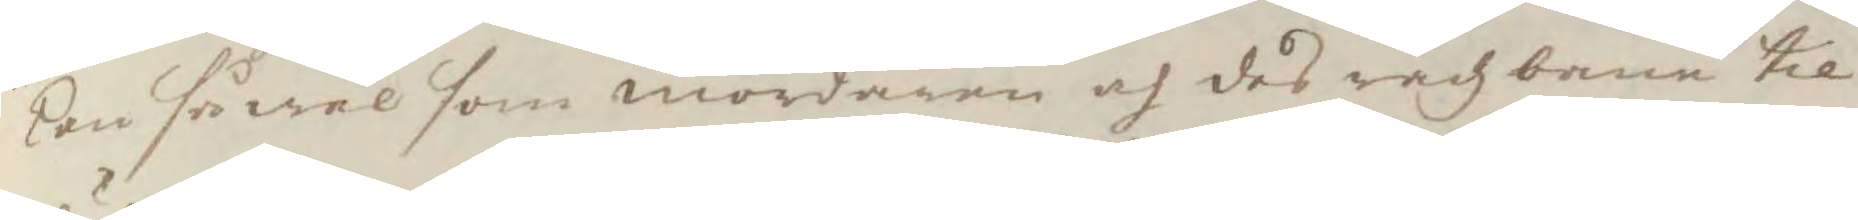kon så wäl som mördaren och des rådz bane til
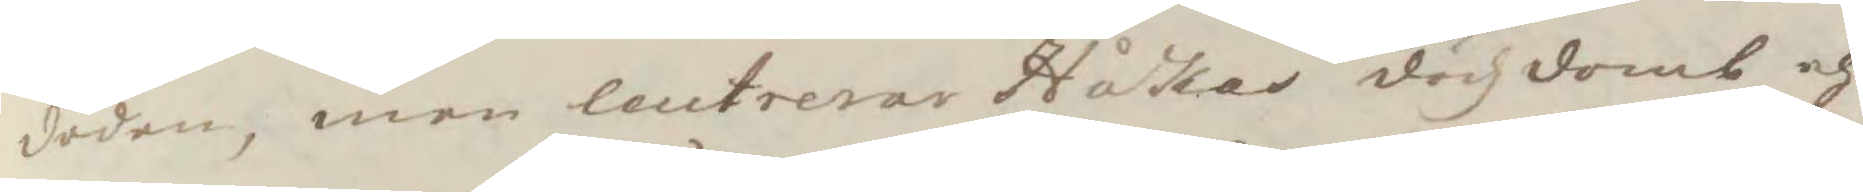döden, men leutrerar Håkas dödzdomb och
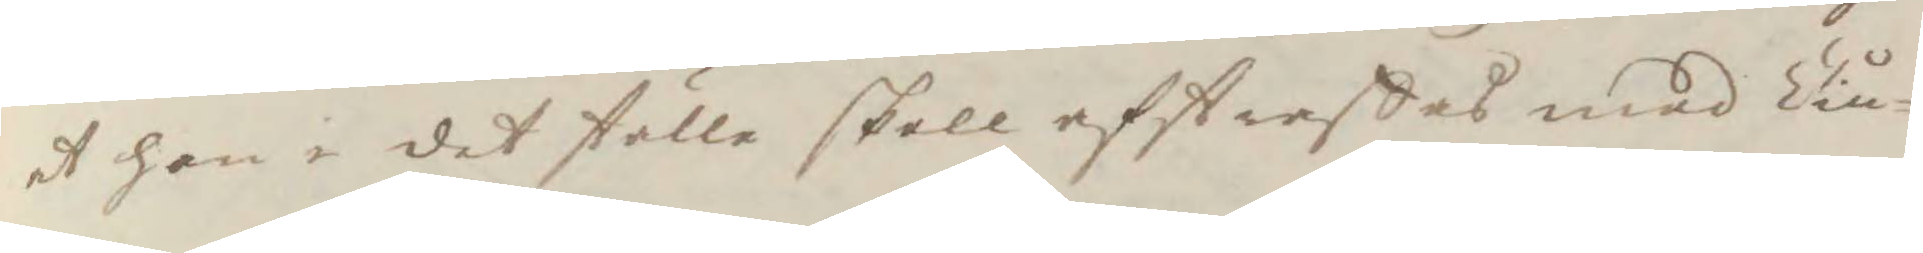at han i det ställe skall afstraffas med Tiu¬
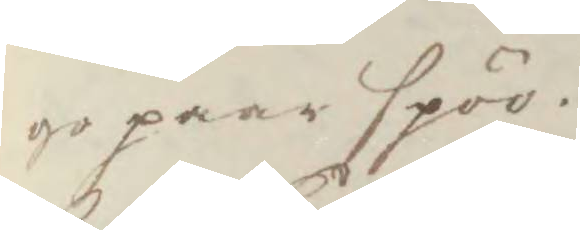go paar spöö.
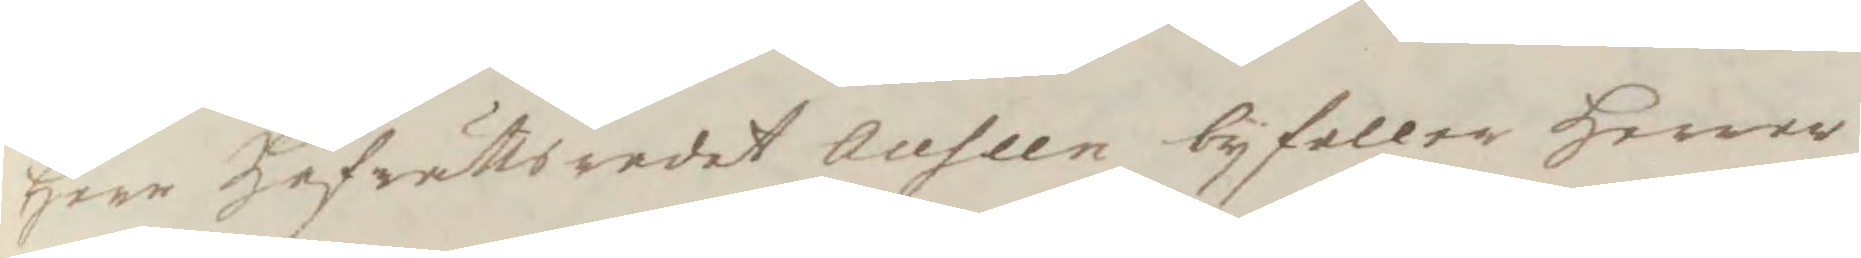Herr Hofrättsredet Auseen byfaller Herrar
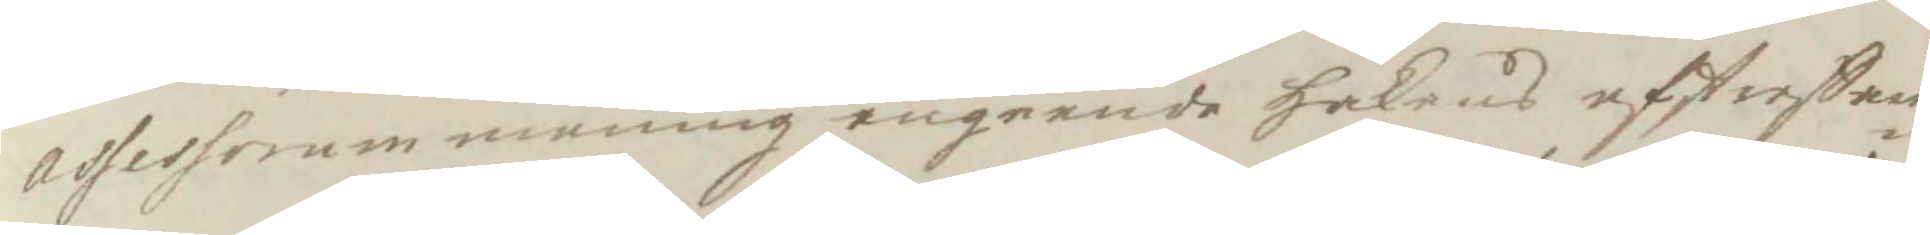assessorum mening angående Håkans afstraffan¬
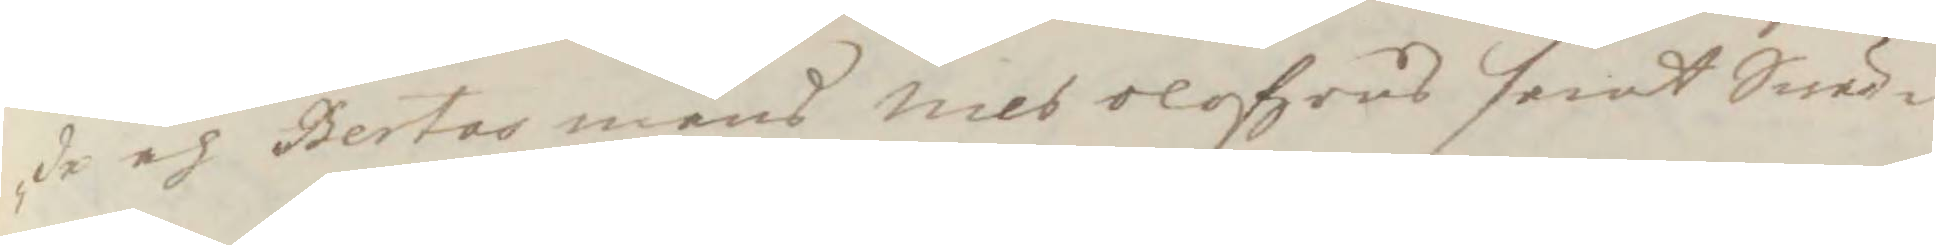de och Bertas mans Nils Olofzons samt Swär¬
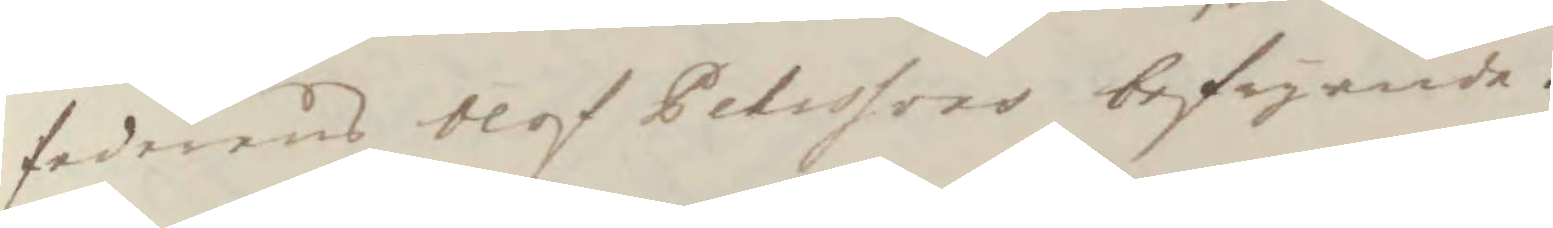faderens Olof Pehrssons befryande.
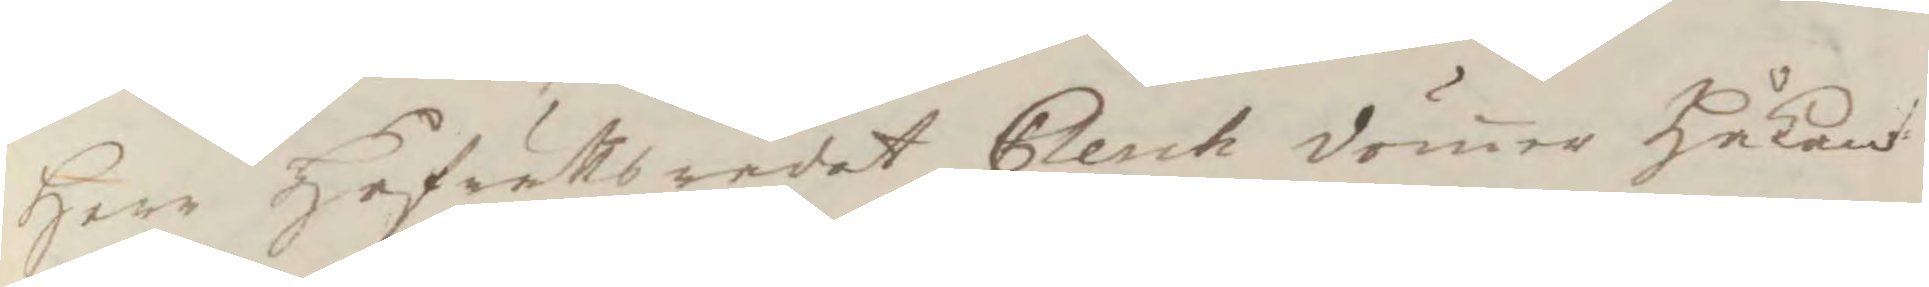Herr Hofrättsredet Clerch dömer Håkan
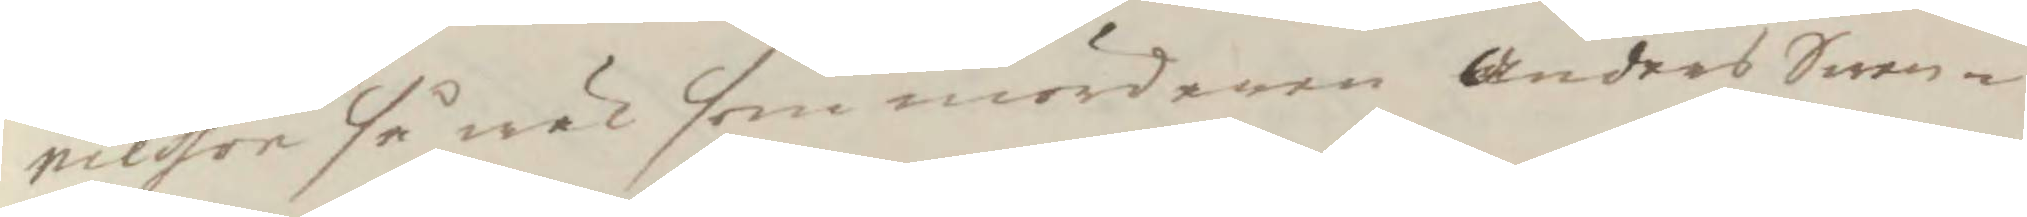nielsson så wäl som mördaren Anders Swen¬
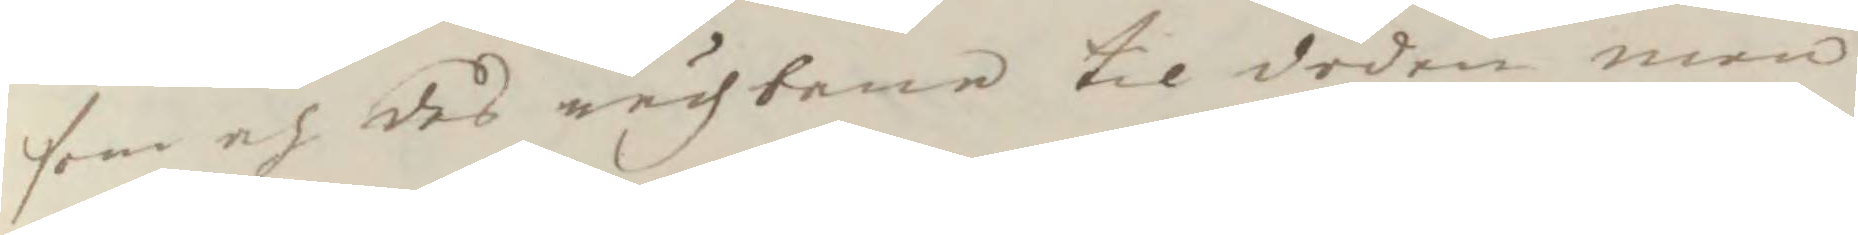son och des rådz bane til döden men
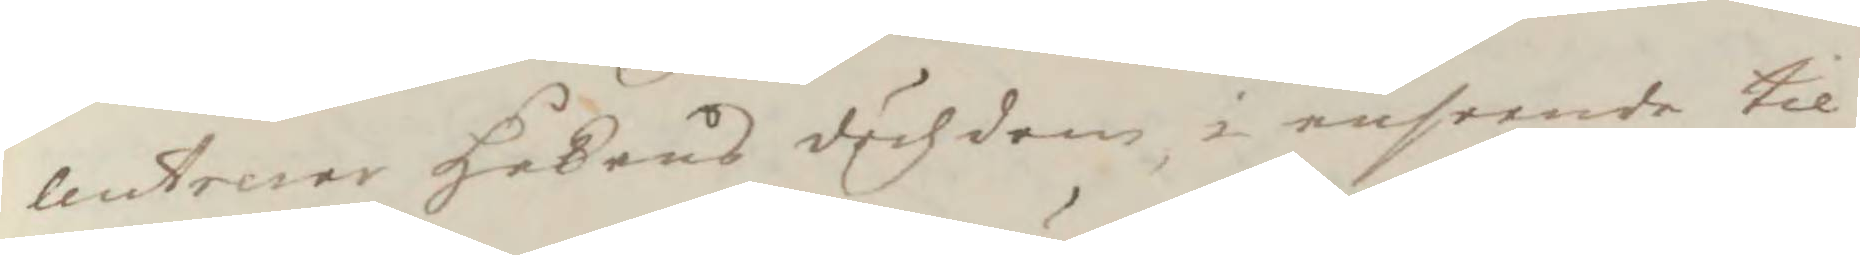Leutrerar Håkens dödzdom i anseende til
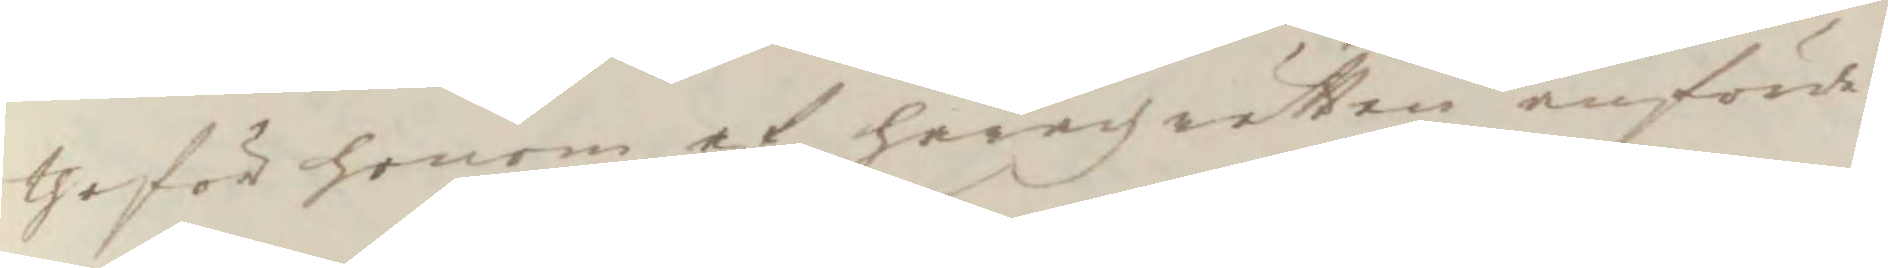the för honom af häradzretten anförde
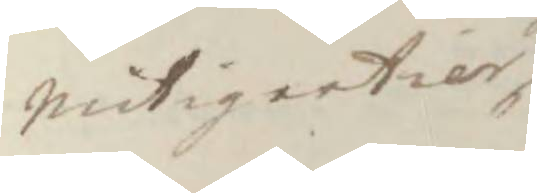nutigertier
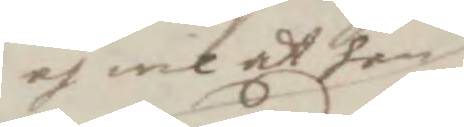och wil at han
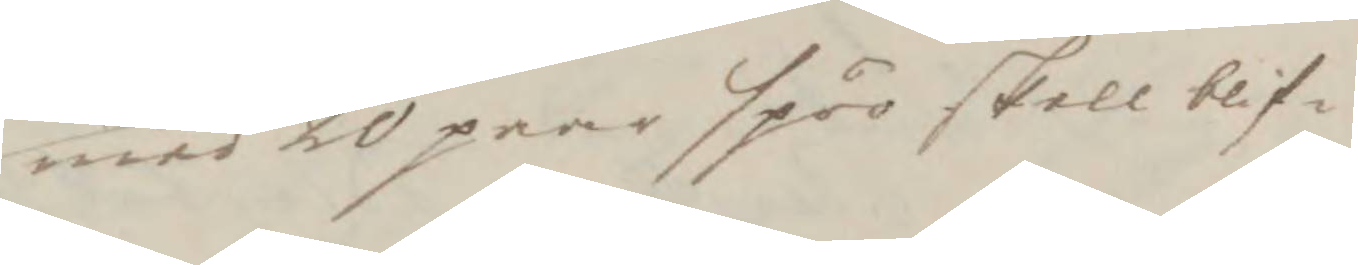med 20 paar spöö skall blif¬
